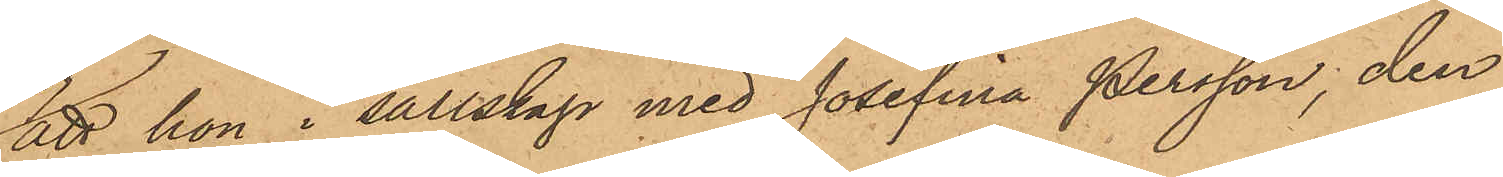att hon i sällskap med Josefina Persson; den
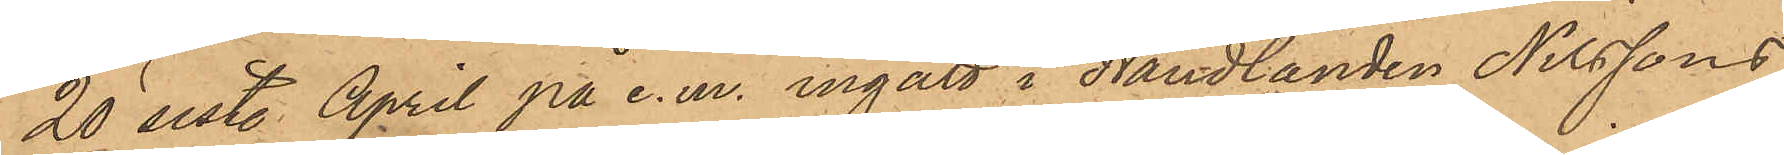20 sist. April på e. m. ingått i Handlanden Nilssons
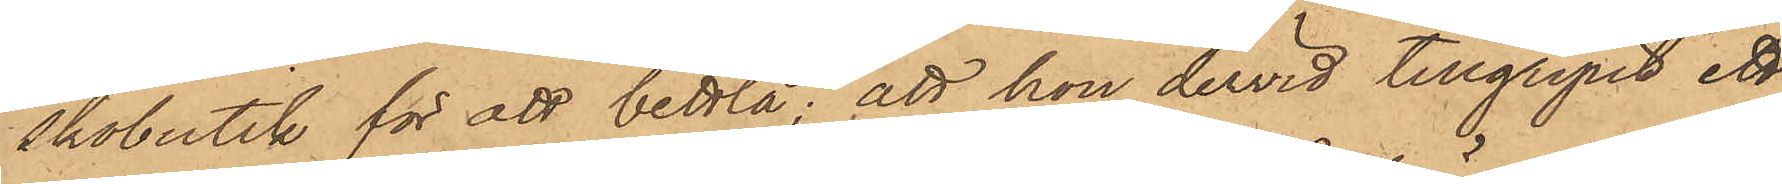skobutik för att bettla; att hon dervid tillgripit ett
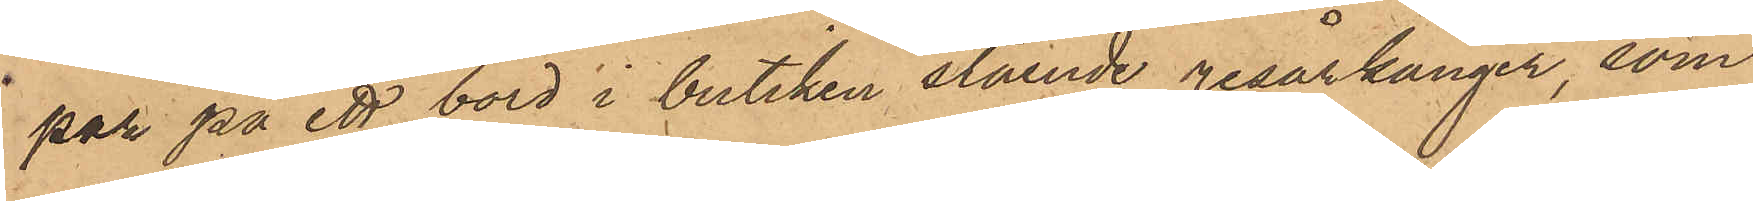par på ett bord i butiken stående resårkänger, som
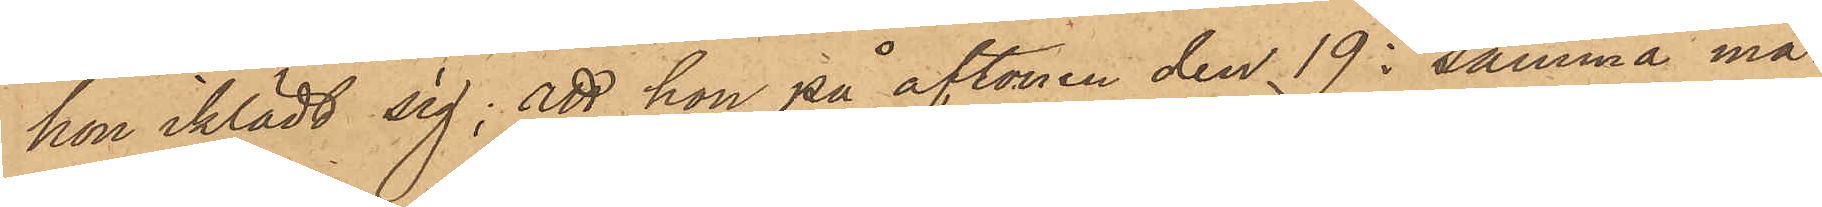hon iklädt sig; att hon på aftonen den 19 i samma må¬
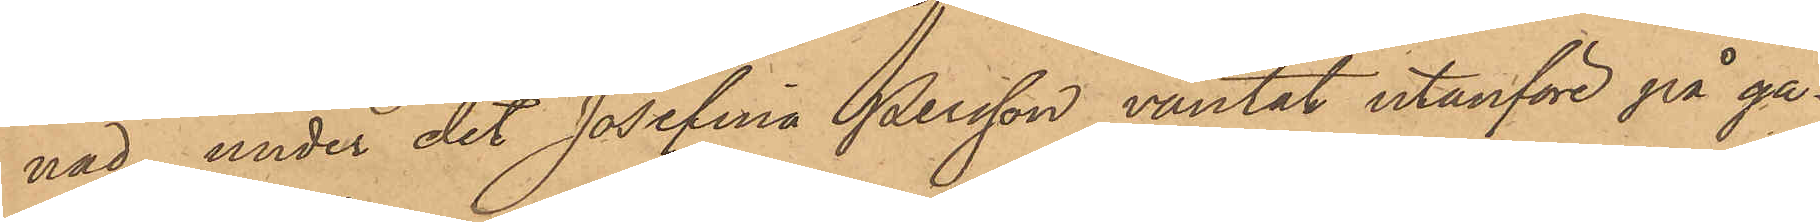nad, under det Josefina Persson väntat utanför på ga¬
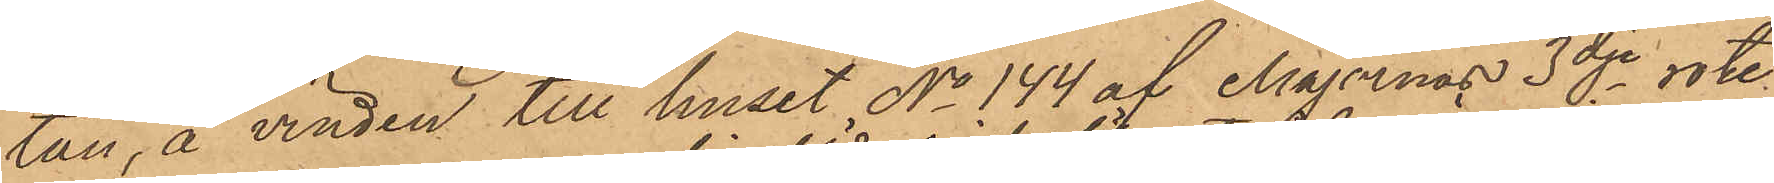tan, å vinden till huset No 144 af Majornas 3dje rote,
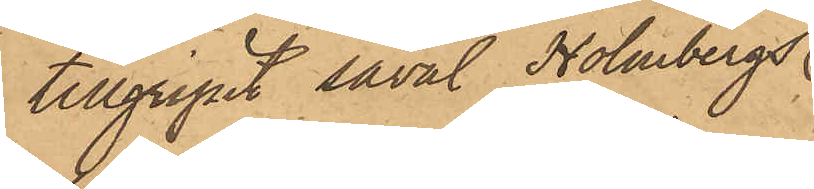tillgripit såväl Holmbergs
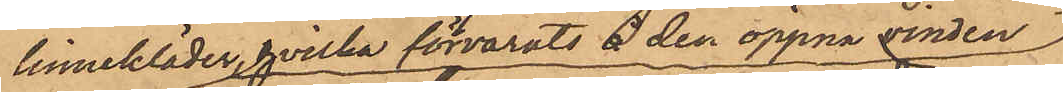linnekläder, hvilka förvarats å den öppna vinden
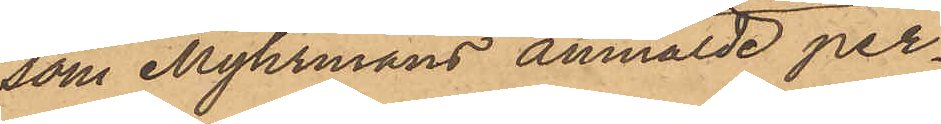som Myhrmans anmälde per¬
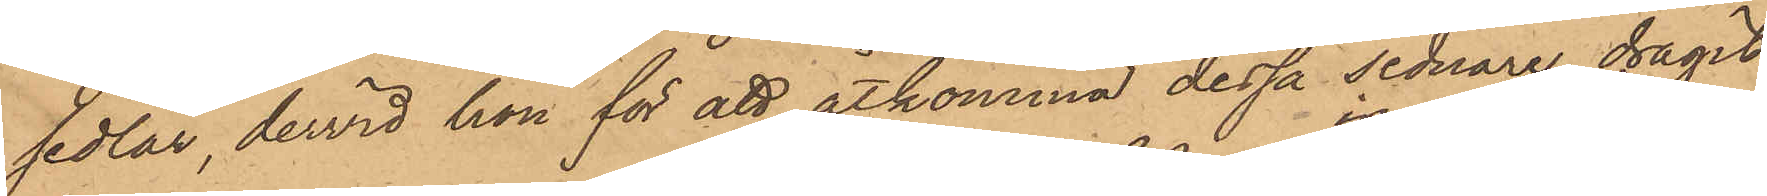sedlar, dervid hon för att åtkomma dessa sednare, dragit
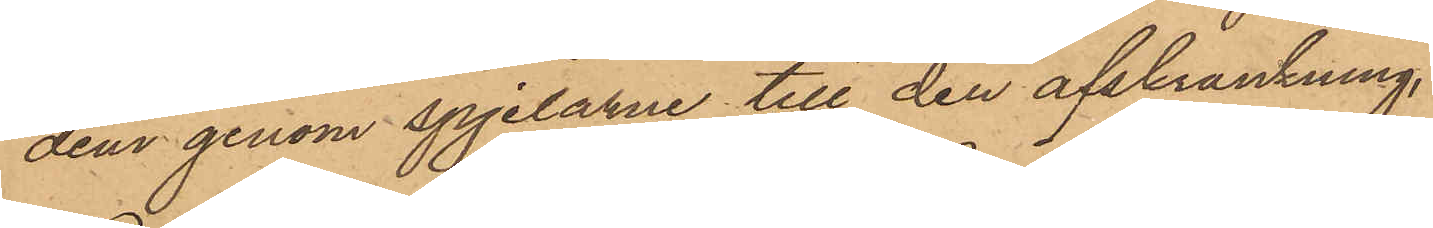dem genom spjelarne till den afskrankning
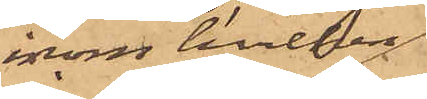inom hvilken
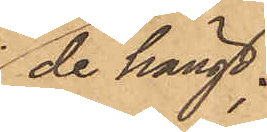de hängt;
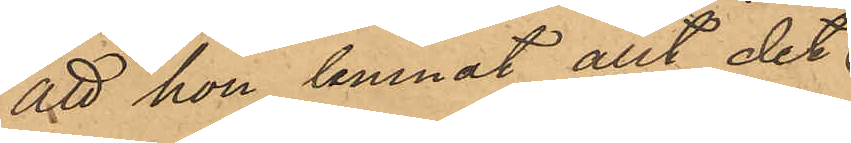att hon lemnat allt det
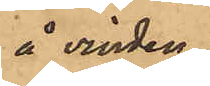å vinden
